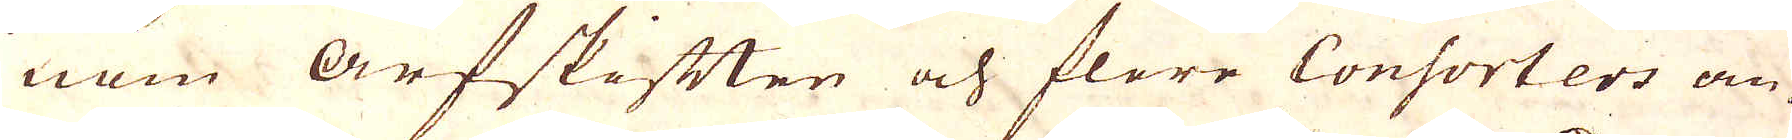nom arfskiften och flere Consorters an-
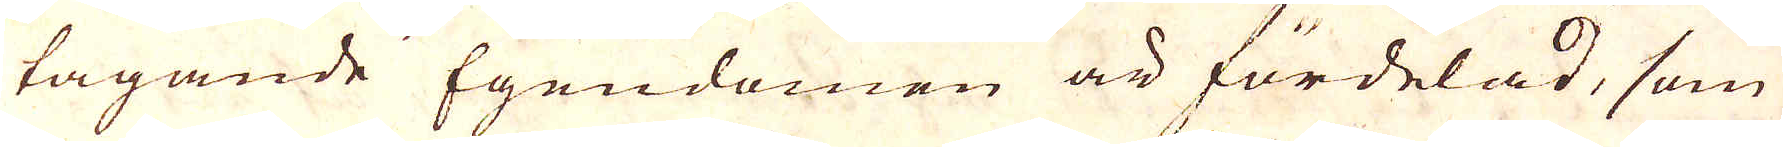tagande Egendomen är fördelad, som
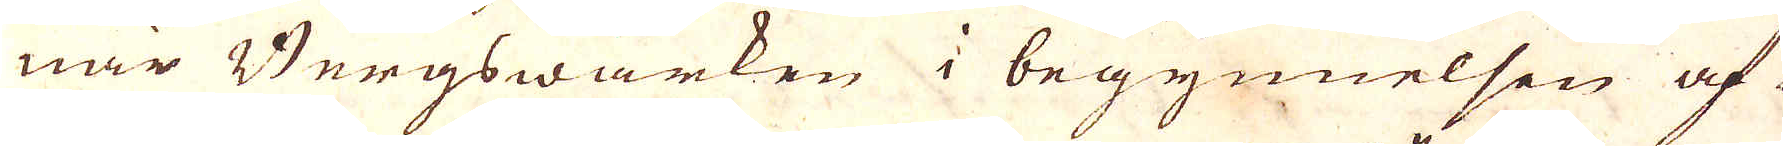när Bergswärken i begynnelsen af
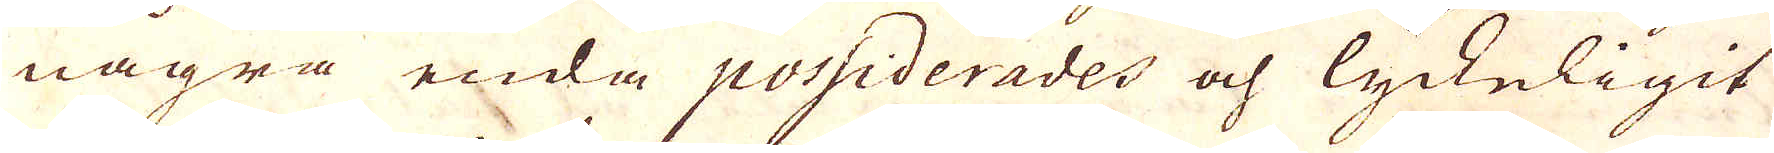några enda possiderades och lyckeligit
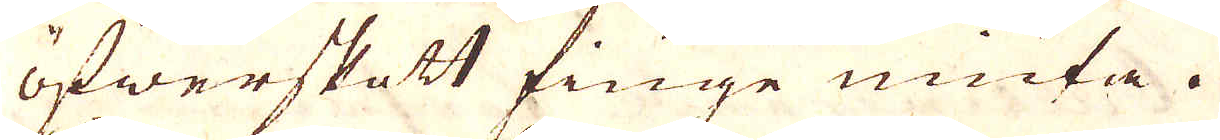öfwerskott finge niuta. 
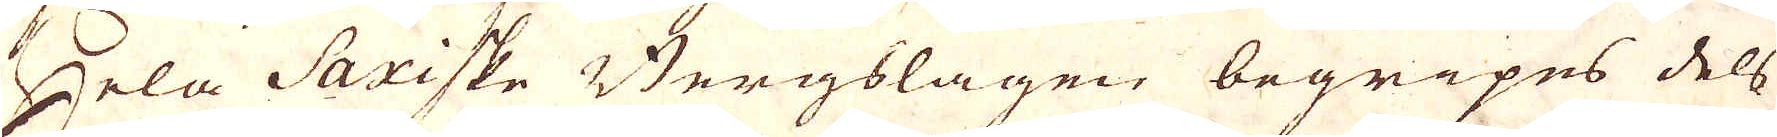Hela Saxiske Bergslagen begripes dels
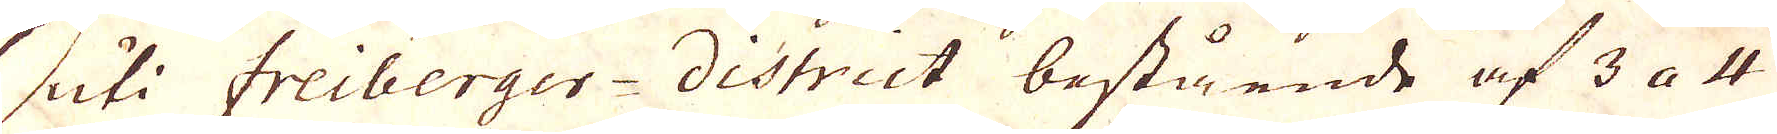uti Freiberger district bestående af 3 a 4
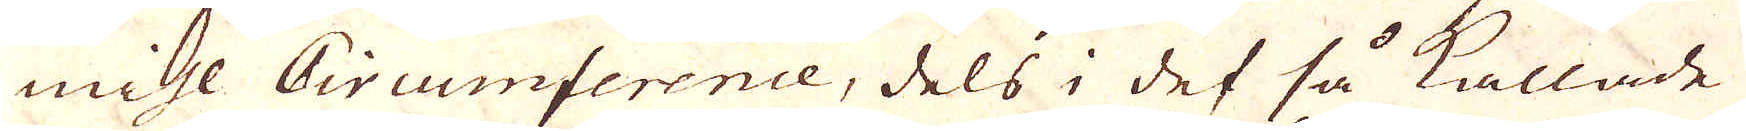mihl Circumference, dels i det så kallade
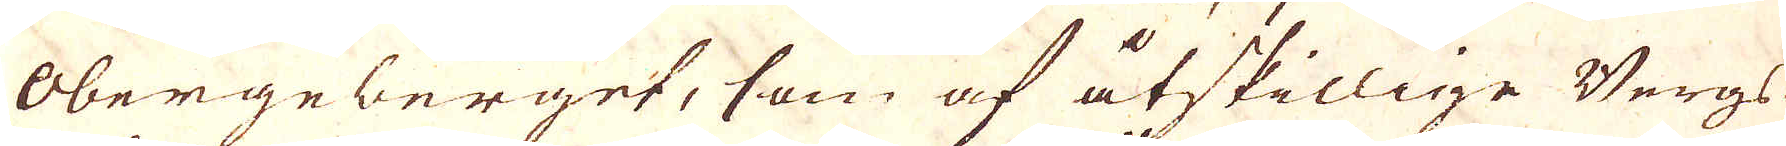Obergeberget, som af åtskillige Bergs
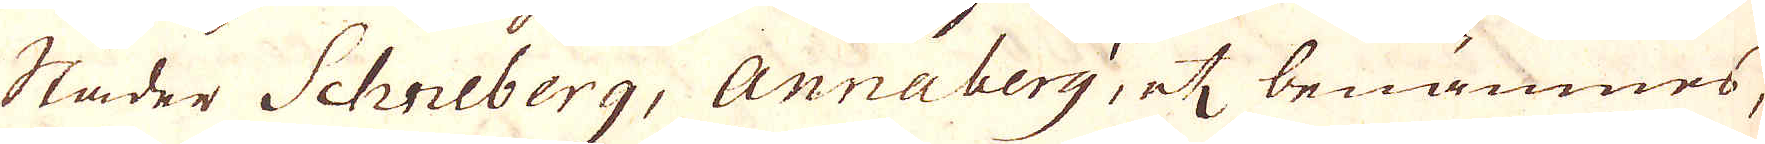städer Schneberg, Annaberg, et benämnes,
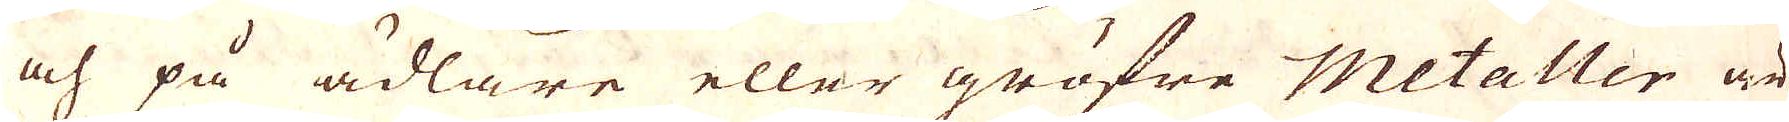och på ädlare eller gröfre Metaller är
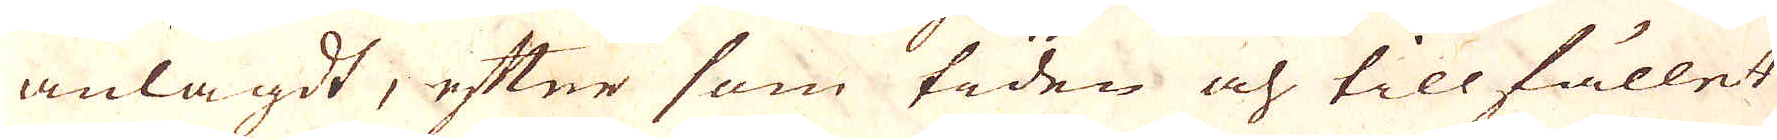anlagdt, efter som tiden och tillfället
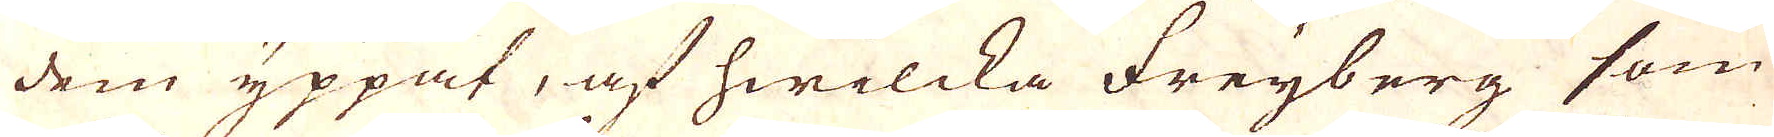dem yppat, af hwilcka Freyberg som
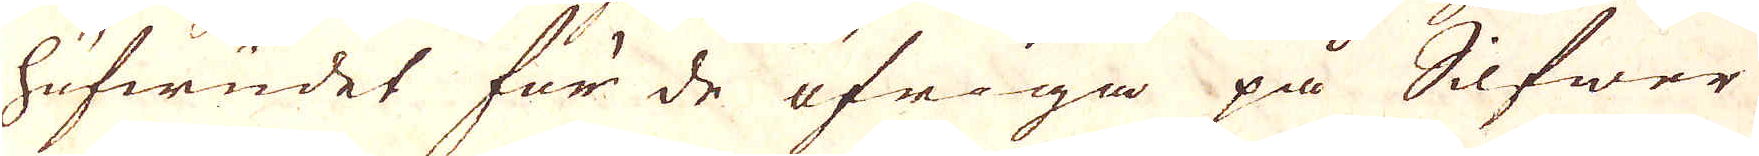hufwudet för de öfriga på Silfwer
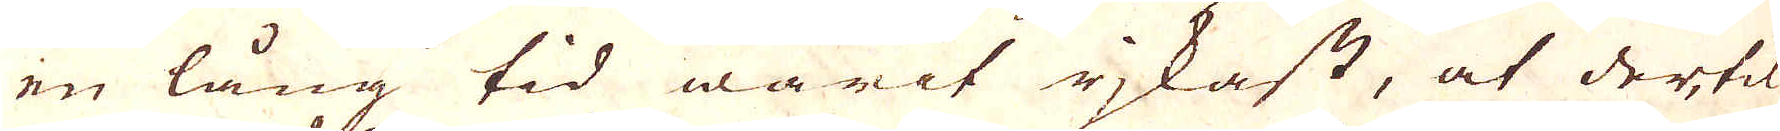en lång tid warit rjkast, at dertil
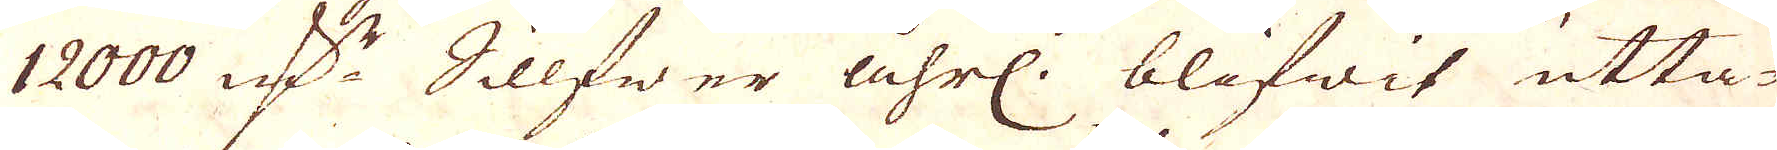12000 marker Sillfwer åhrl: blifwit utta-
